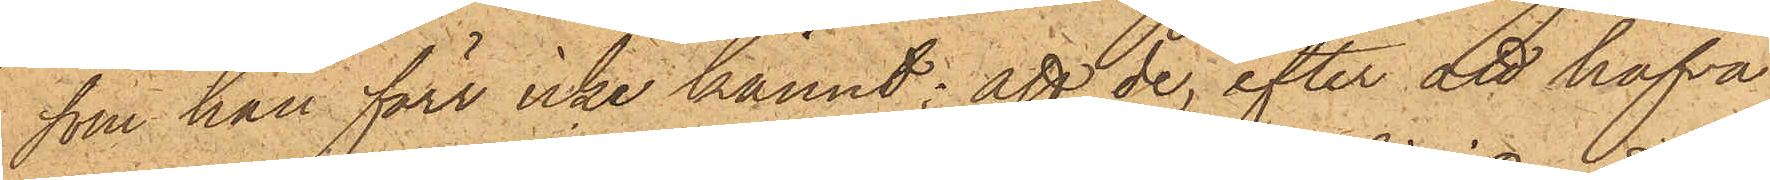som han förr icke kännt; att de, efter att hafva
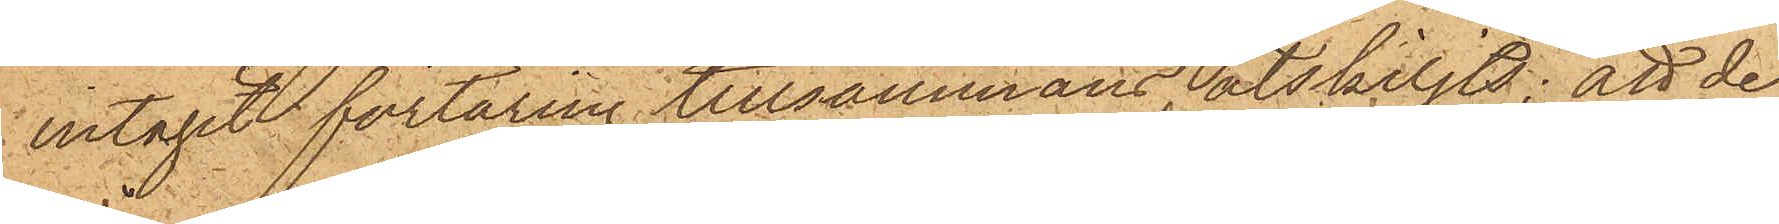intagit förtäring tillsammans åtskiljts; att de
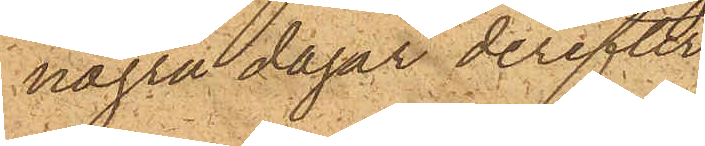några dagar derefter
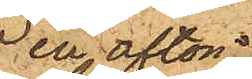en afton
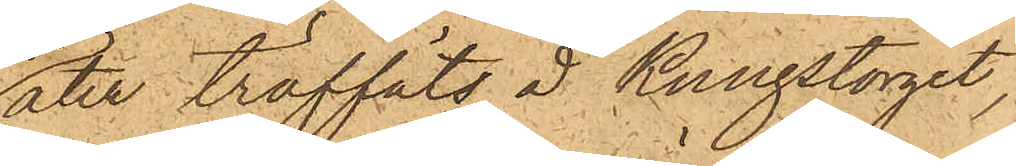åter träffats å Kungstorget,
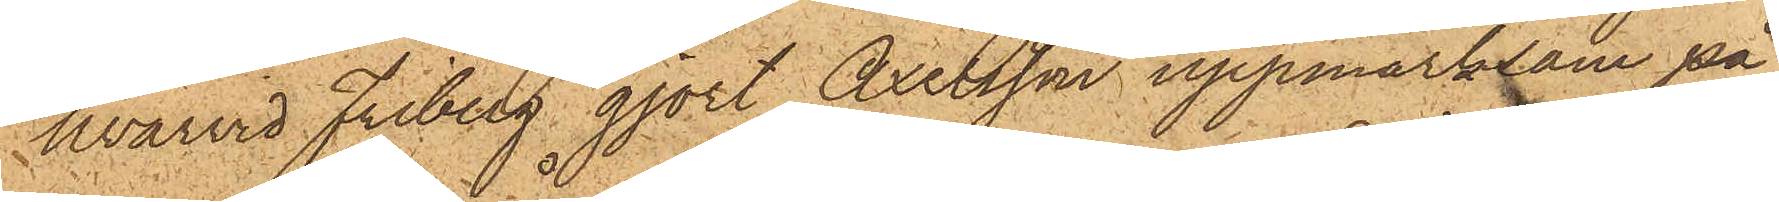hvarvid Friberg gjort Axelsson uppmärksam på
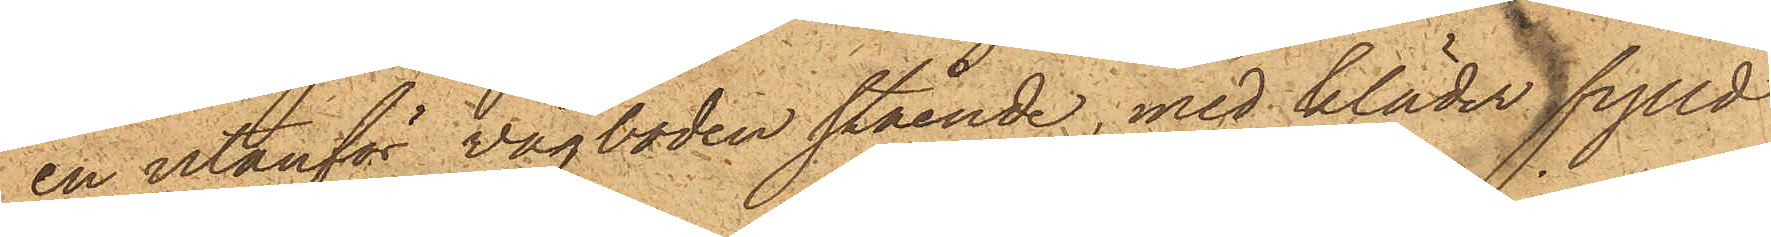en utanför vågboden stående med kläder fylld
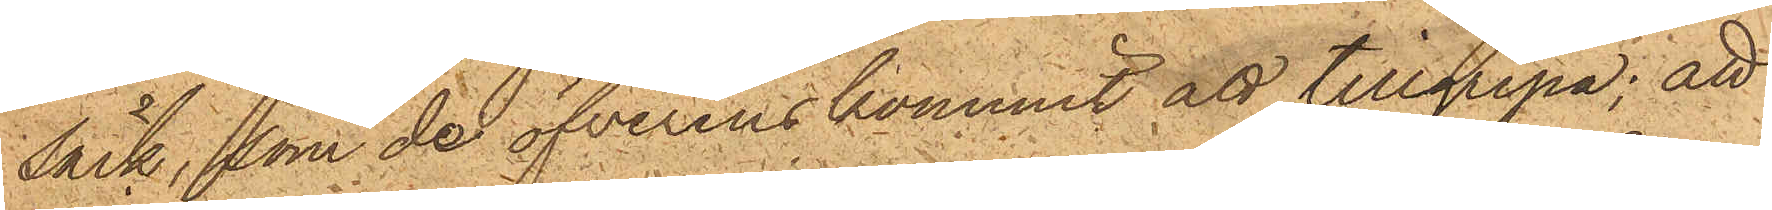säck, som de öfverenskommit att tillgripa; att
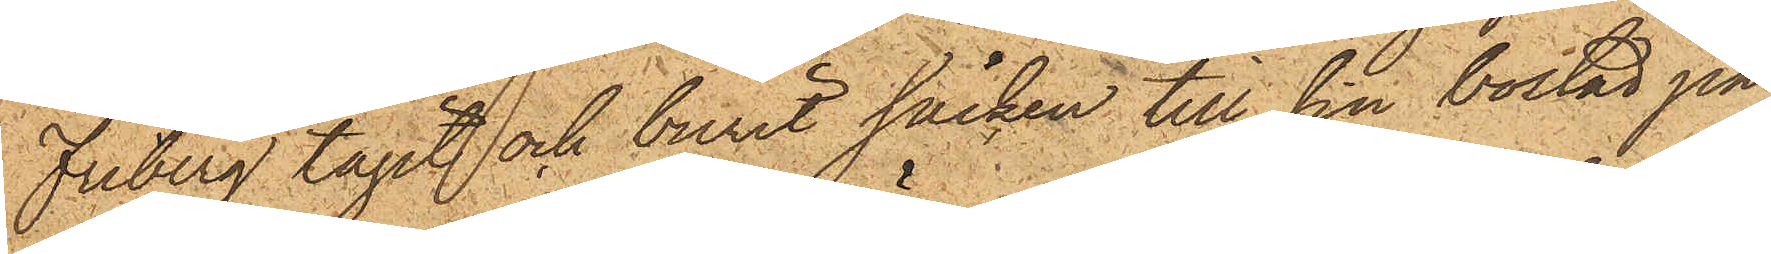Friberg tagit och burit säcken till sin bostad på
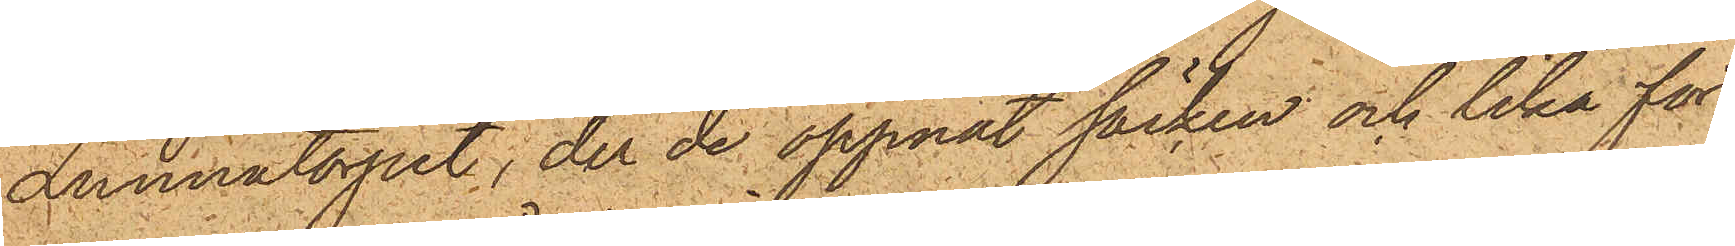Lunnatorpet, der de öppnat säcken och lika för¬
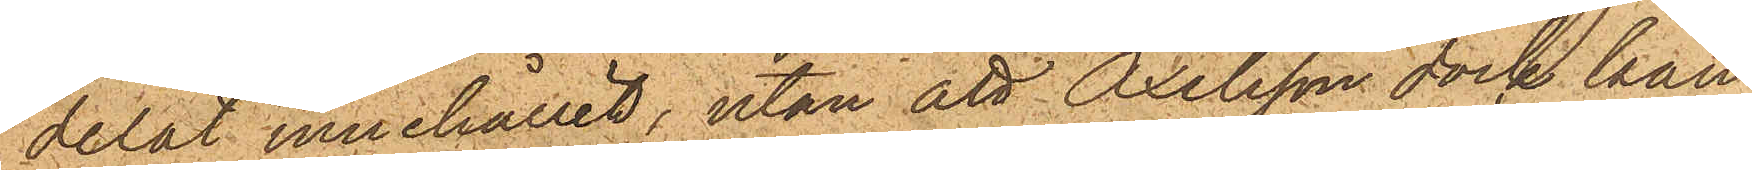delat innehållet, utan att Axelsson dock kan
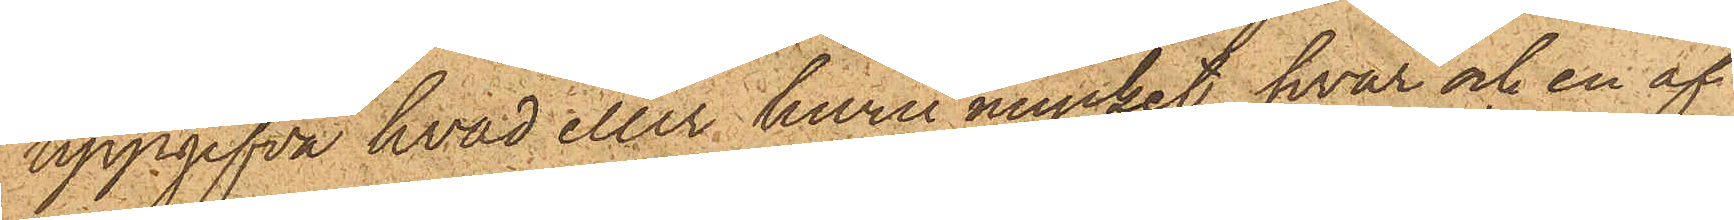uppgifva hvad eller huru mycket hvar och en af
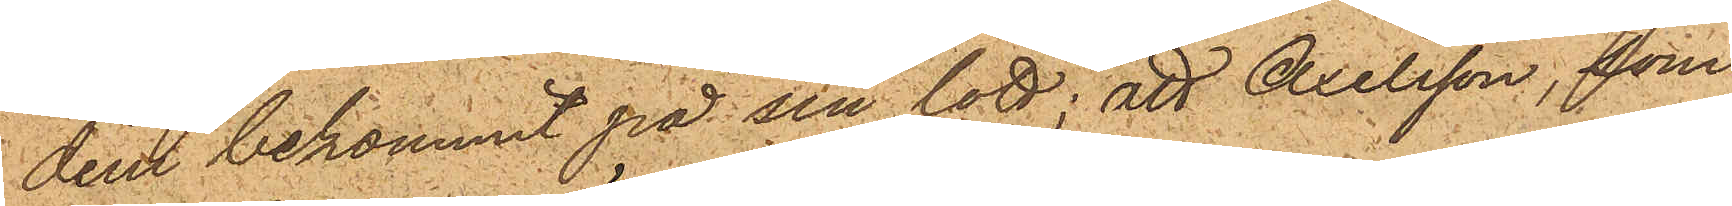dem bekommit på sin lott; att Axelsson, som
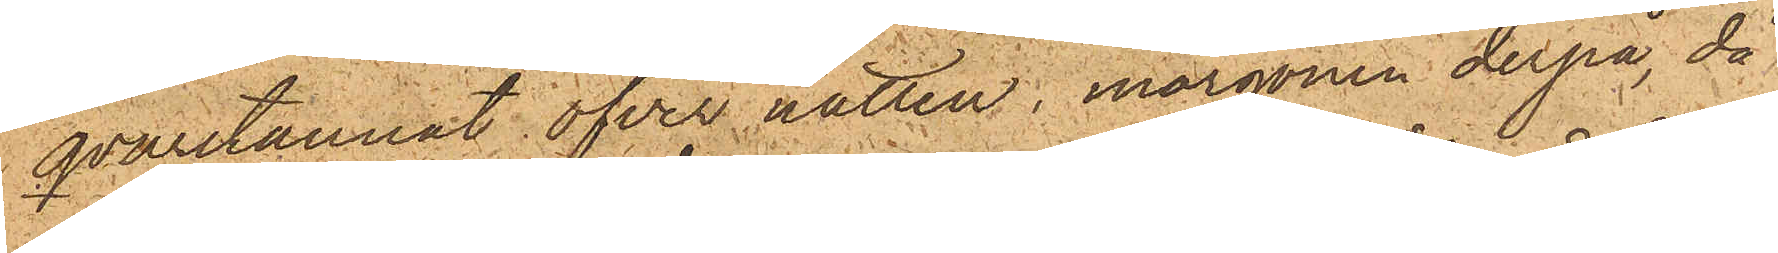qvarstannat öfver natten, morgonen derpå, då
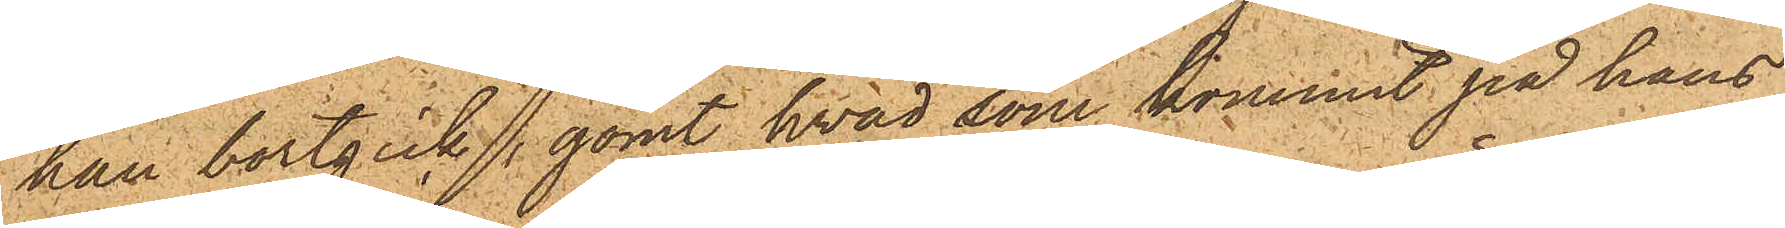han bortgick, gömt hvad som kommit på hans
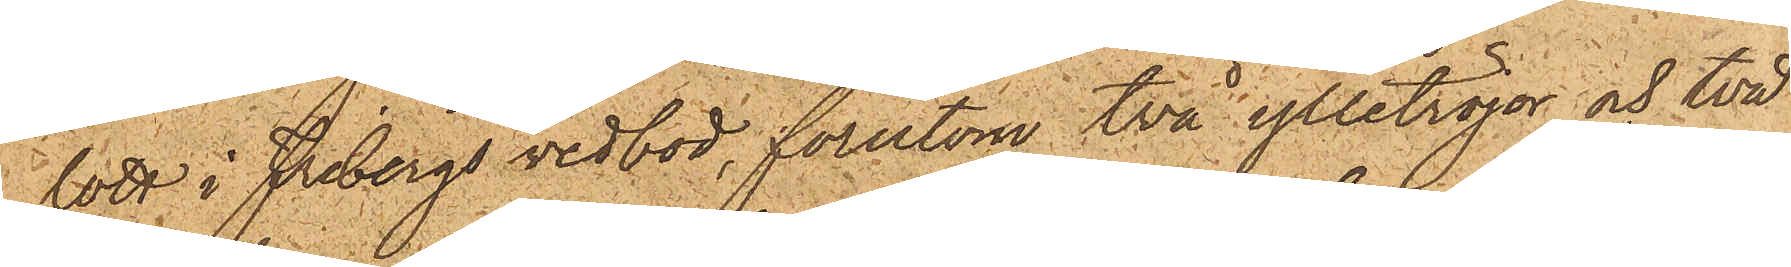lott i Fribergs vedbod, förutom två ylletröjor och två
